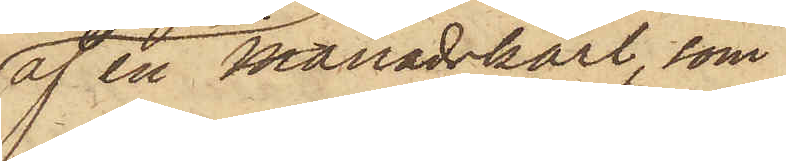af en Månadskarl, som
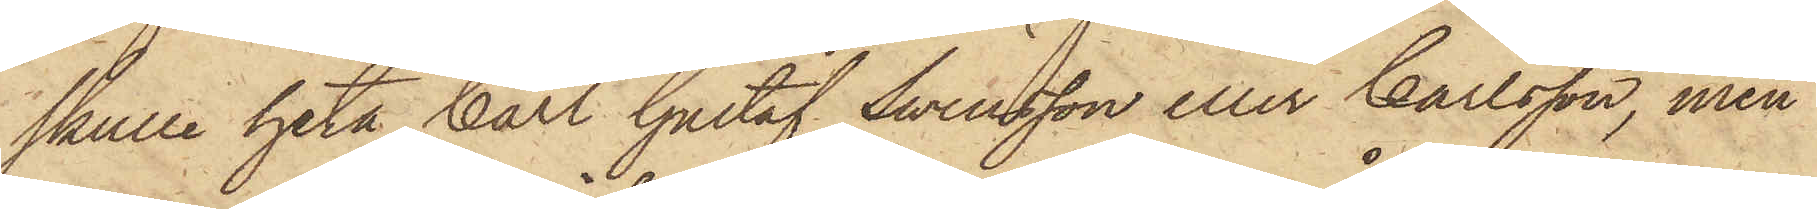skulle heta Carl Gustaf Swensson eller Carlsson, men
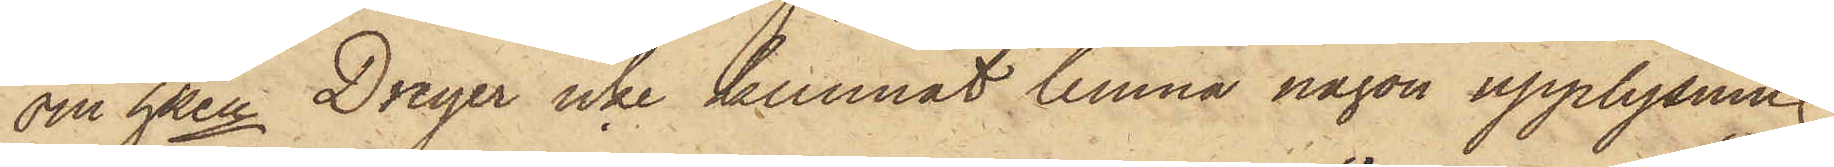om hken Dreyer icke kunnat lemna någon upplysning
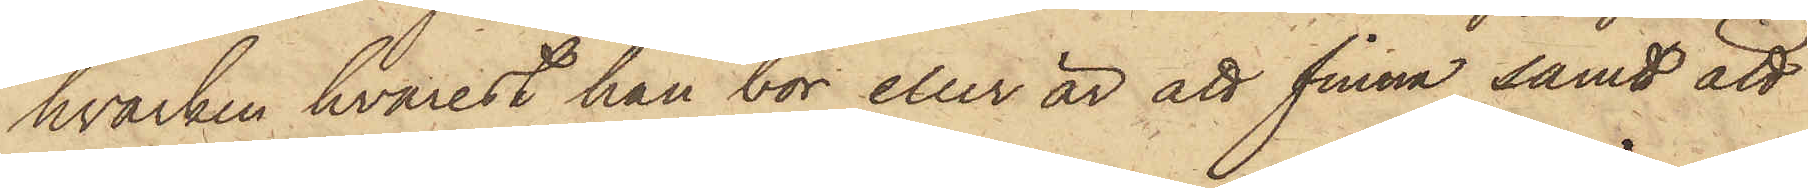hvarken hvarest han bor eller är att finna samt att
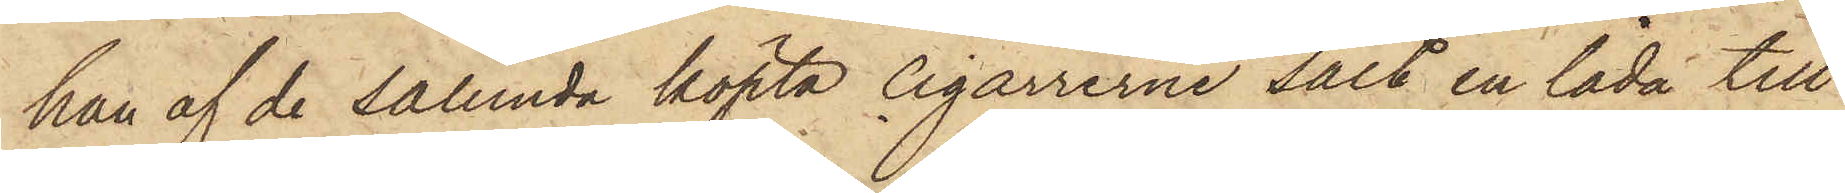han af de sålunda köpta cigarrerne sålt en låda till
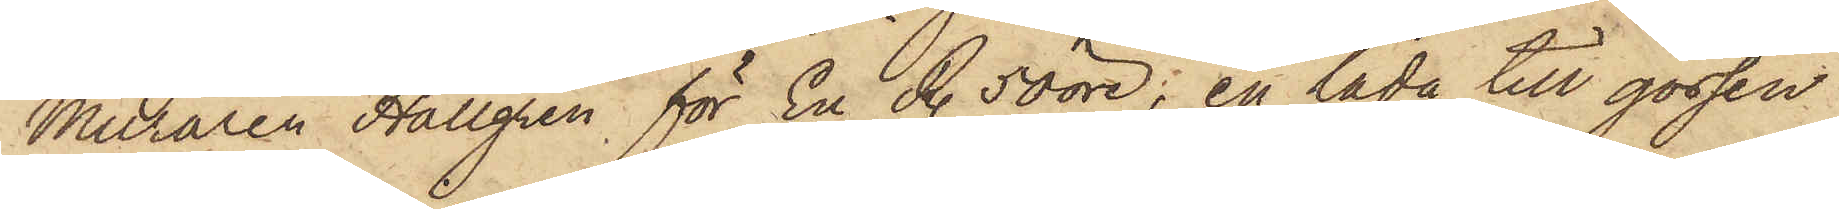Muraren Hallgren, för En R. 50 öre; en låda till gossen
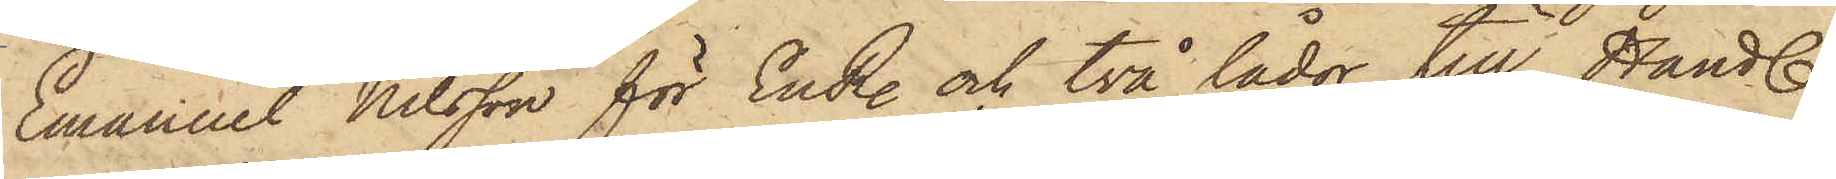Emanuel Nilsson för En R. och två lådor till Handl.
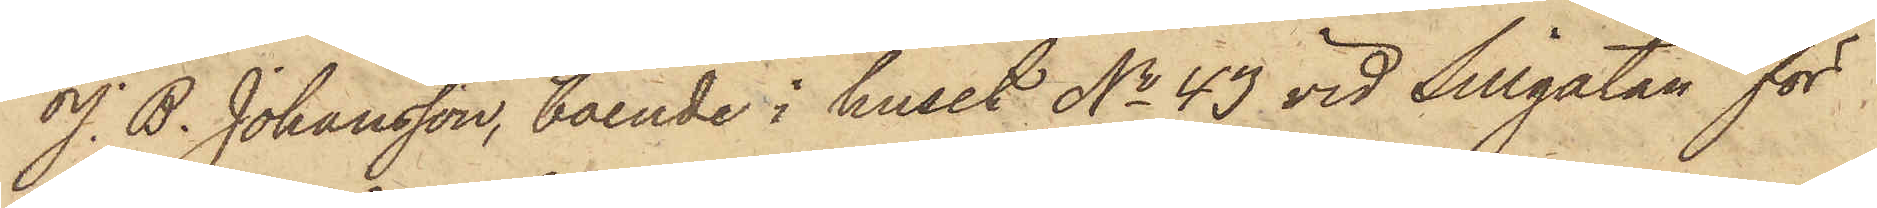J. B. Johansson, boende i huset No 43 vid Sillgatan för
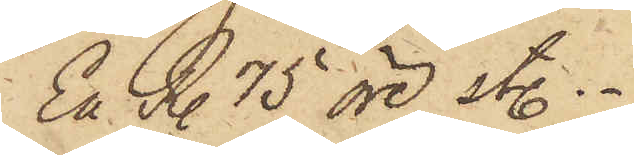En R. 75 öre st..
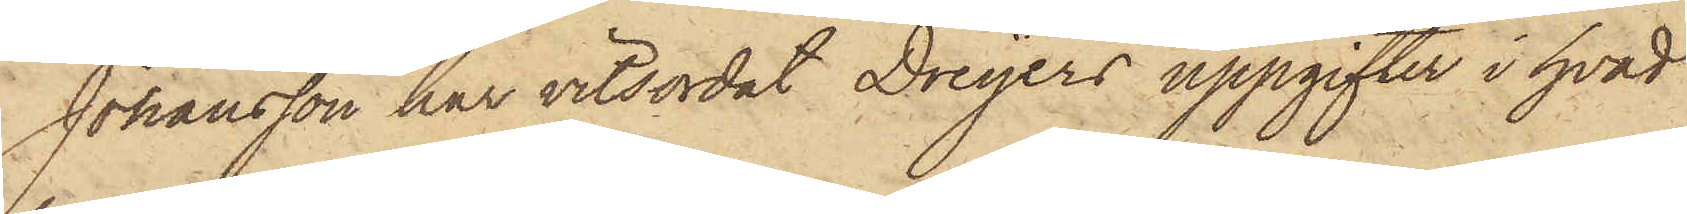Johansson har vitsordat Dreÿers uppgifter i hvad
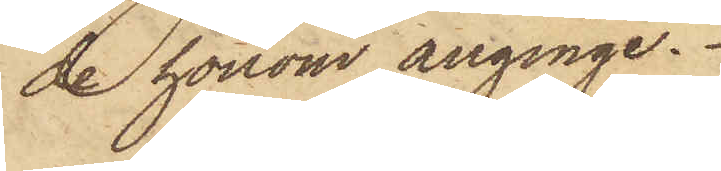de honom anginge.
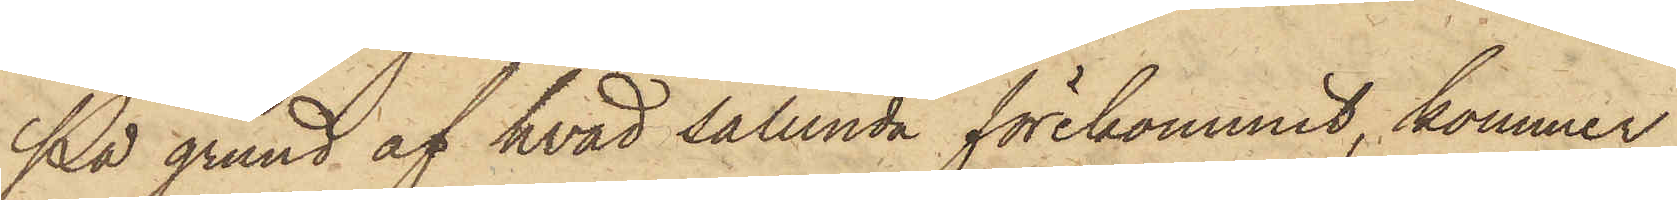På grund af hvad sålunda förekommit, kommer
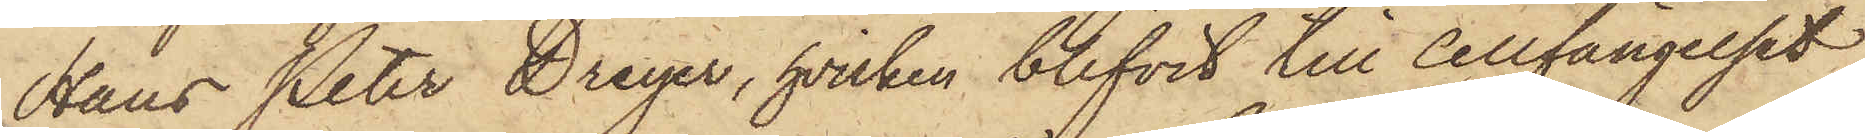Hans Peter Dreyer, hvilken blifvit till Cellfängelset
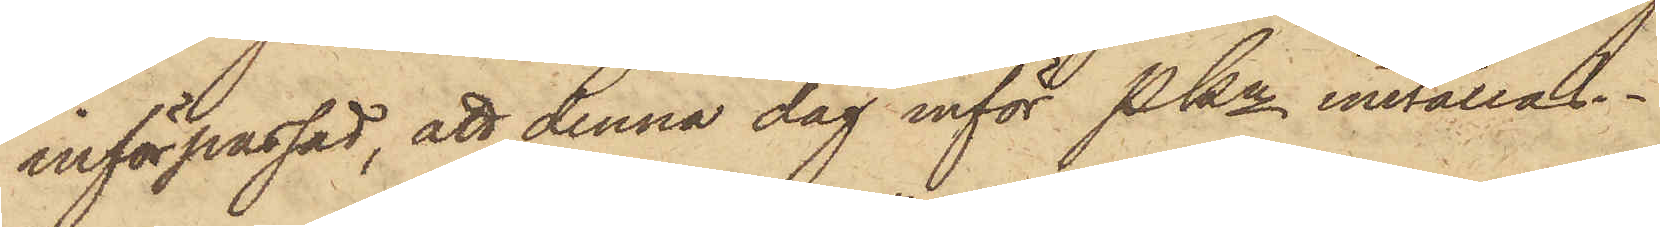införpassad, att denna dag inför Pkn inställas.
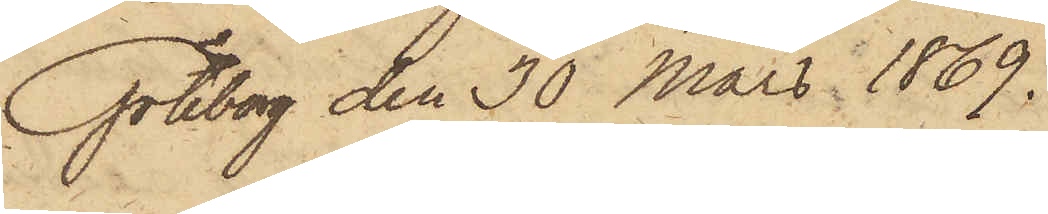Göteborg den 30 Mars 1869.
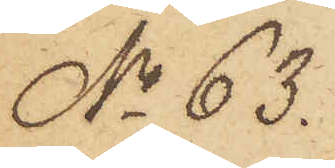No 63.
